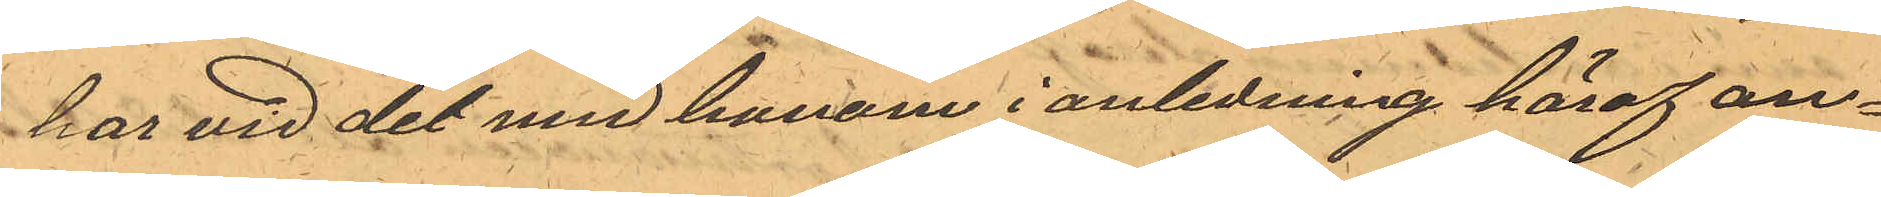har vid det med honom i anledning häraf an¬
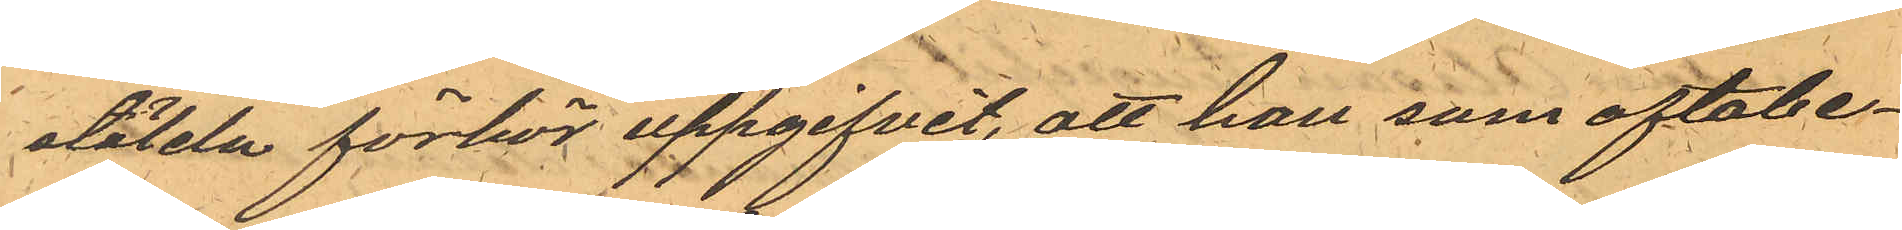stälda förhör uppgifvit, att han som oftabe¬
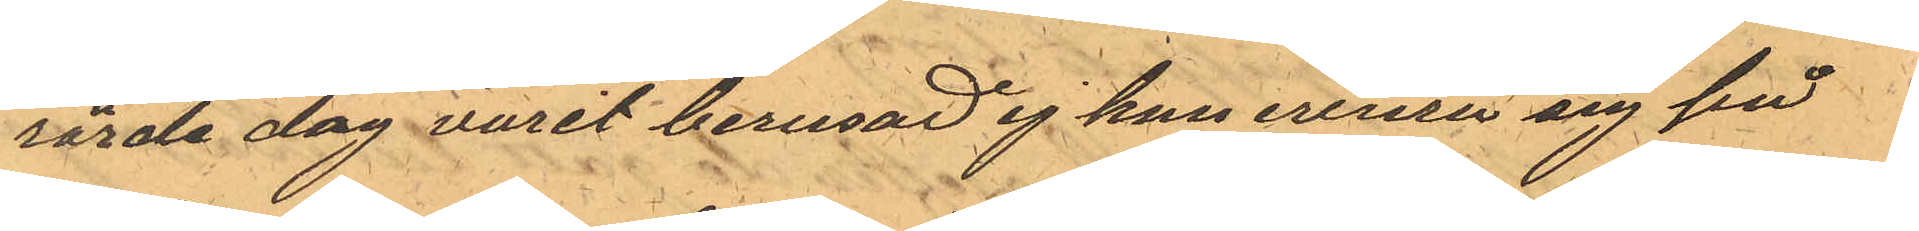rörde dag varit berusad ej kan erinra sig på
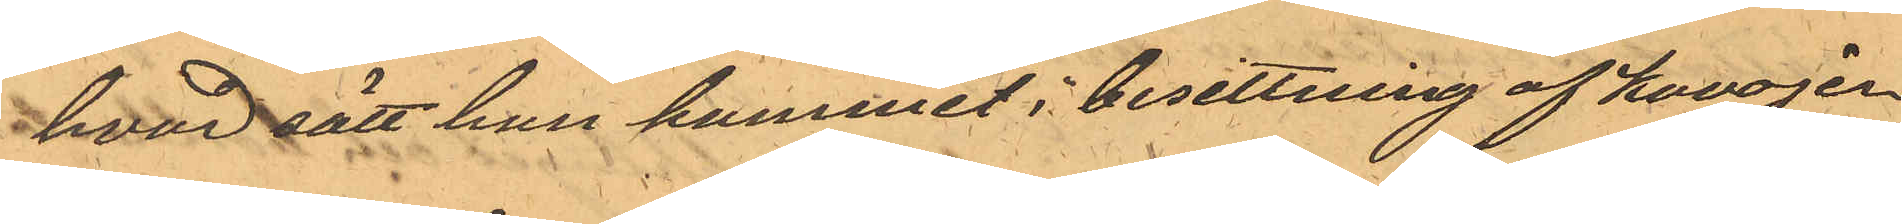hvad sätt han kommit i besittning af kavajen
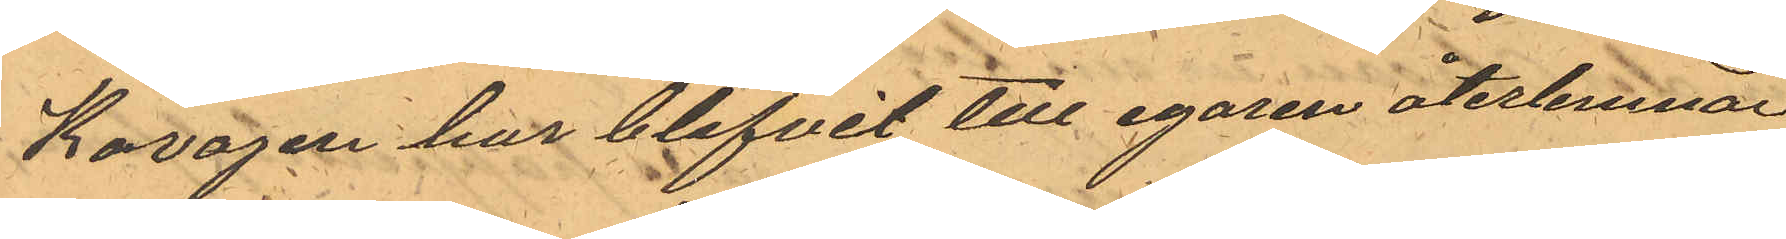Kavajen har blifvit till egaren återlemnad
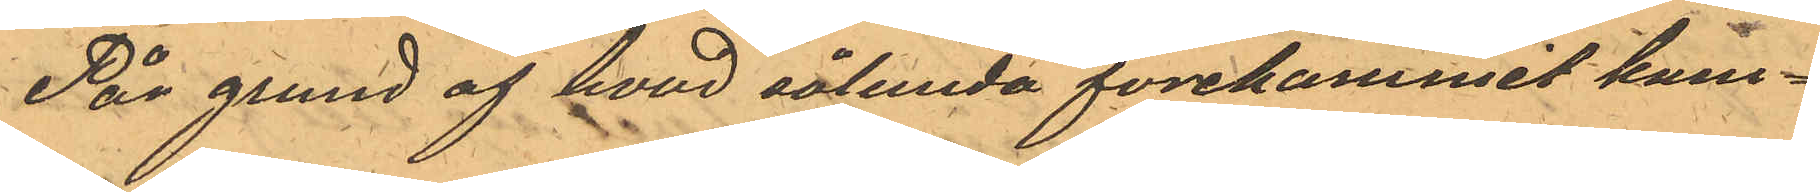På grund af hvad sålunda forekommit kom¬
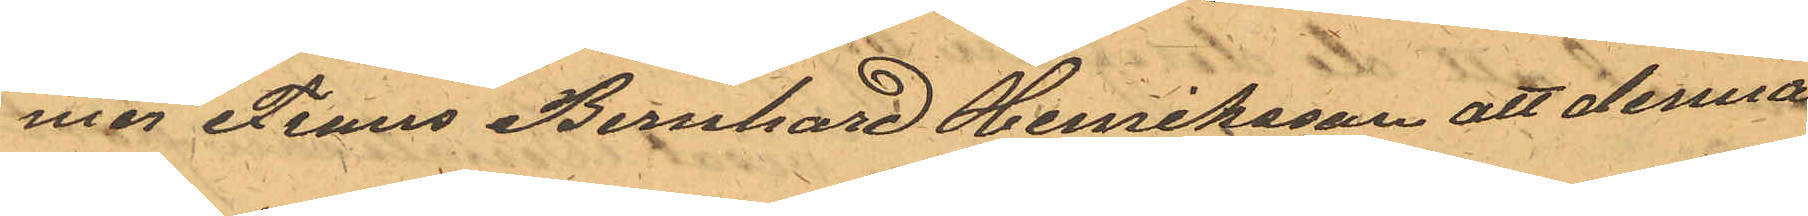mer Frans Bernhard Henriksson att denna
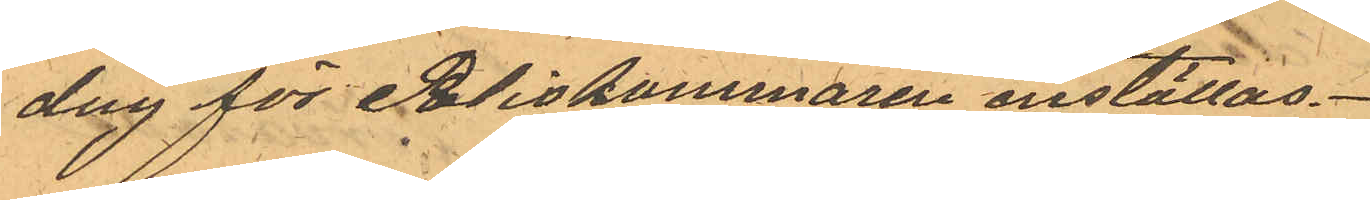dag för Poliskammaren inställas.
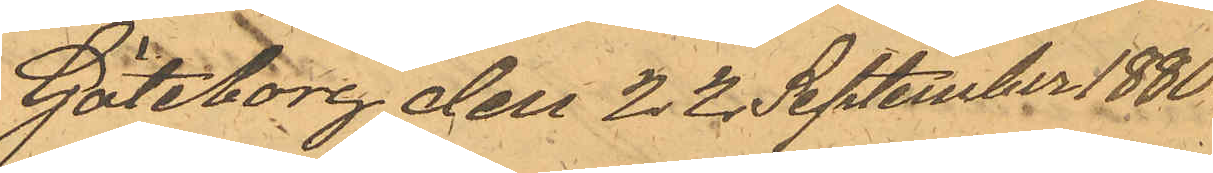Göteborg den 22 September 1880.
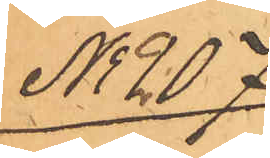No 207
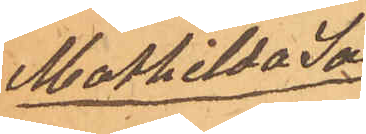Mathilda Jo¬
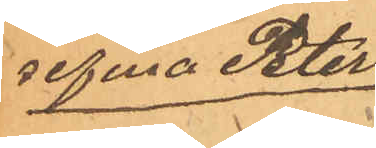sefina Peters¬
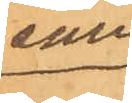son
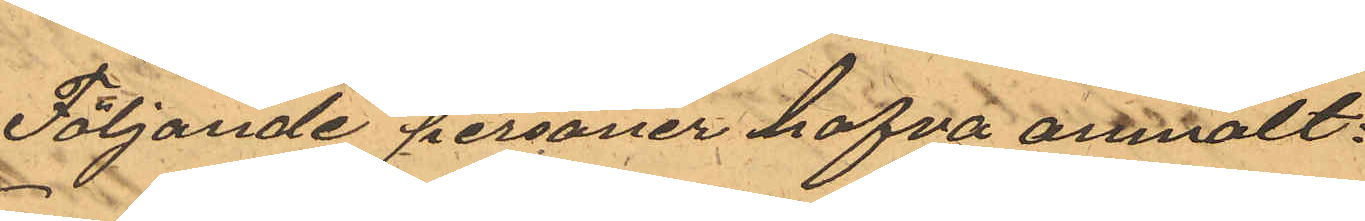Följande personer hafva anmält:
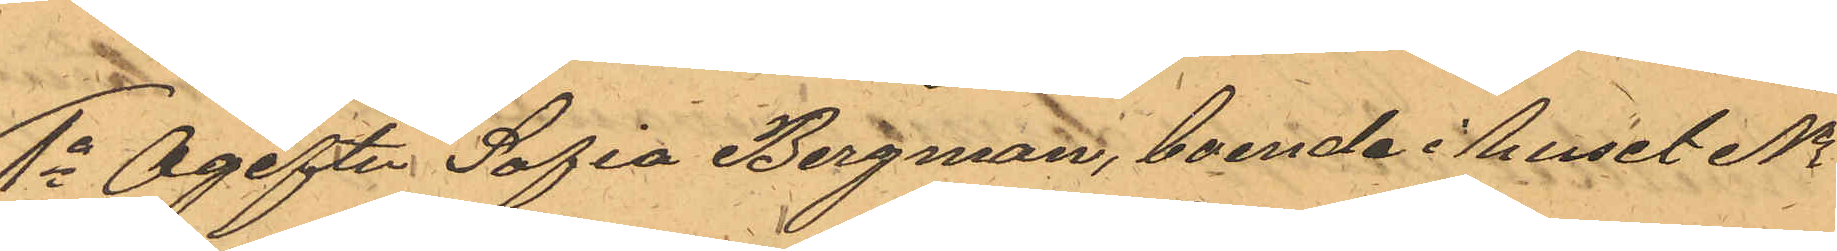1o Ogifta Sofia Bergman, boende i huset No
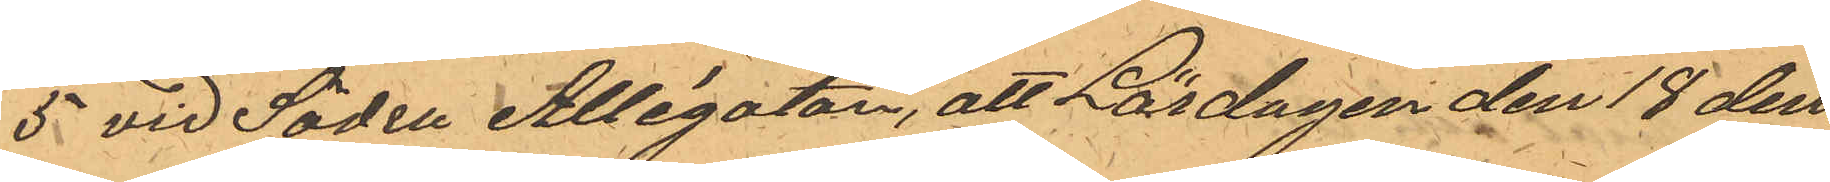5 vid Södra Allégatan, att Lördagen den 18 den¬
